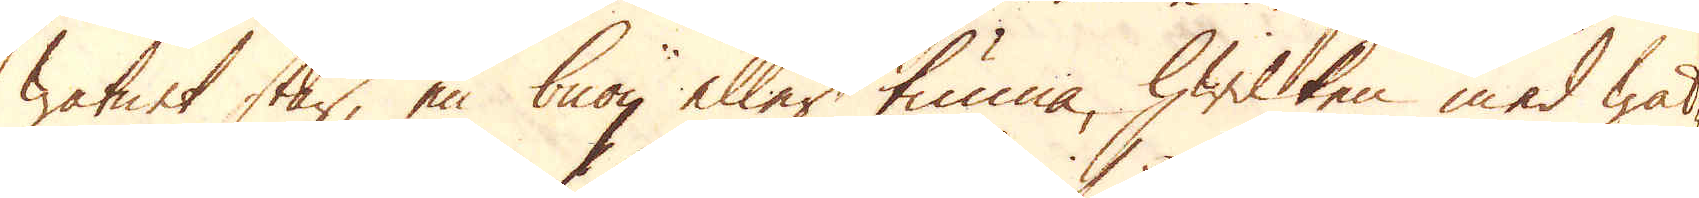watnet står, en buoy eller tunna, hwilken med wat-
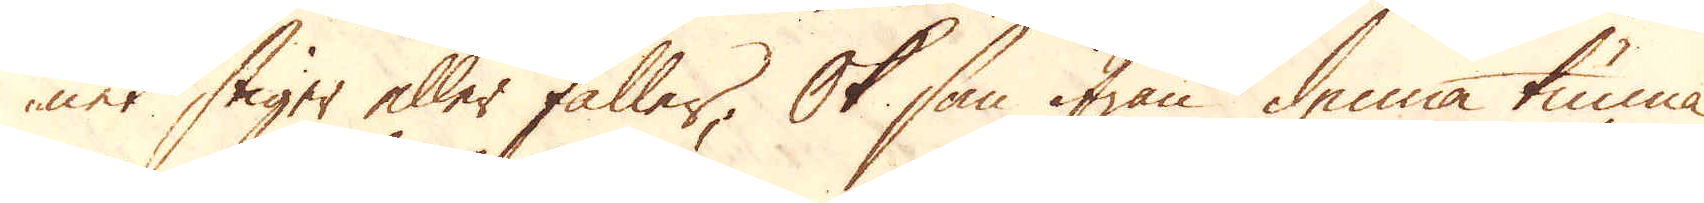ner stiger eller faller; Ok som ifrån denna tunna
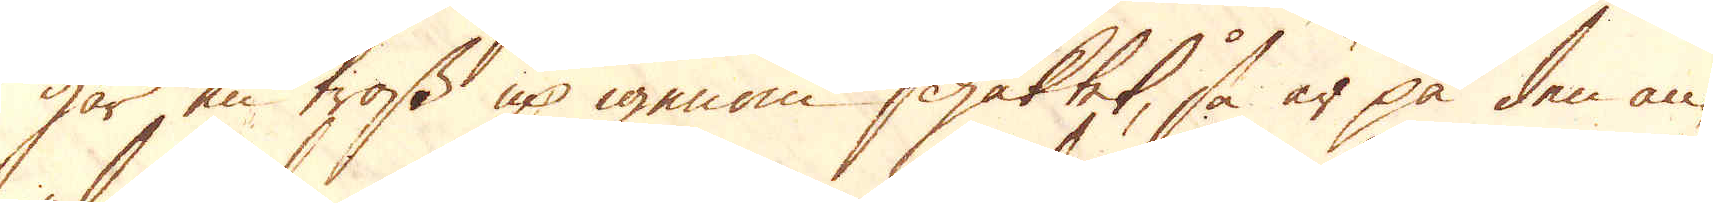går en tross up igenom schaktet, så är på den an-
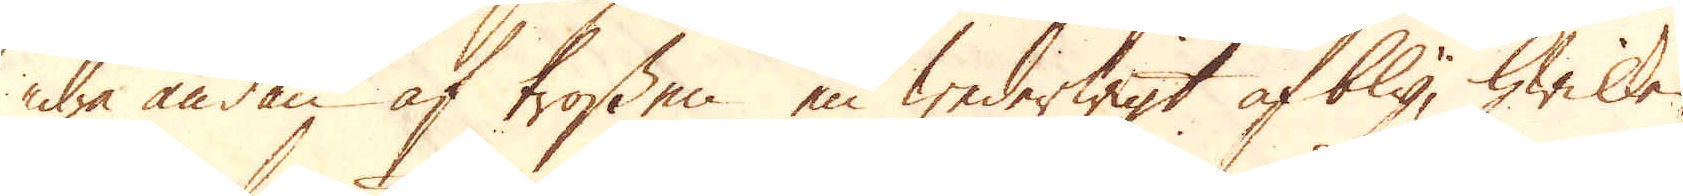dra ändan af trossen en wederwigt af bly, hwilken
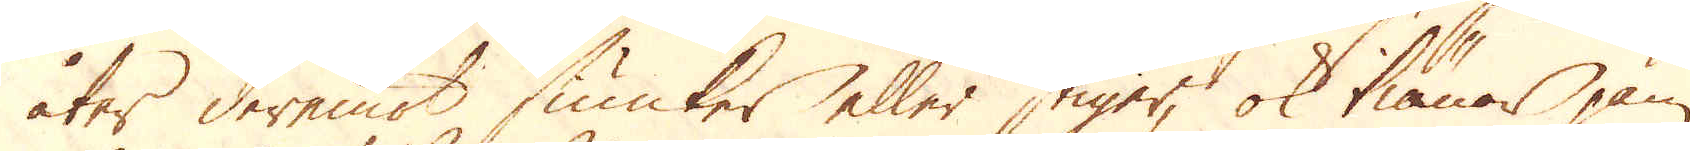åter deremot siunker eller stiger, ok tiänar jäm-
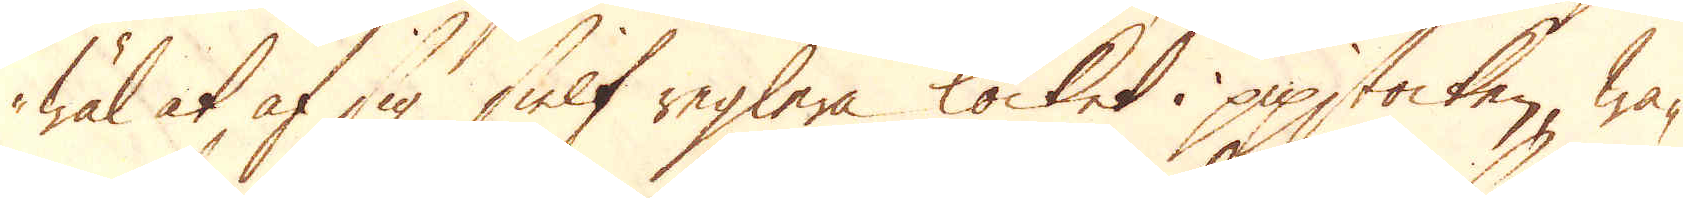wäl at af sig sielf reglera locket i pipstocken, wa-
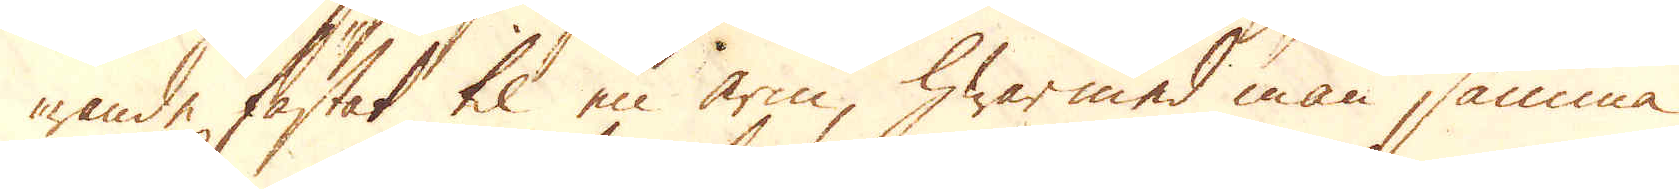rande fästat til en arm, hwar med man samma
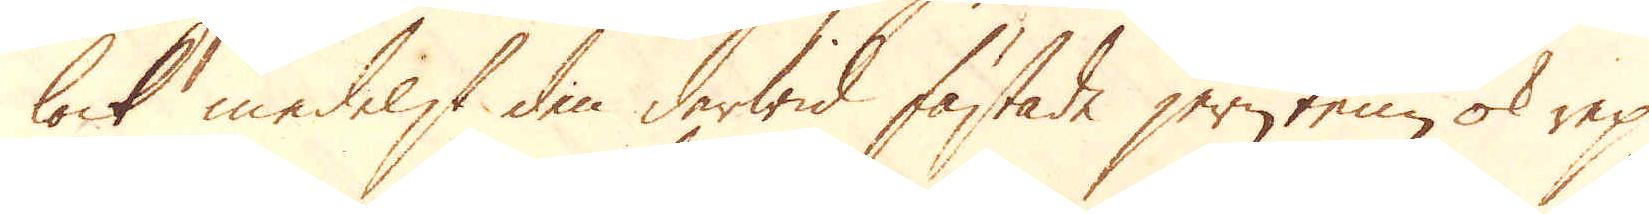lock medelst den derwid fästade jerntene ok rep
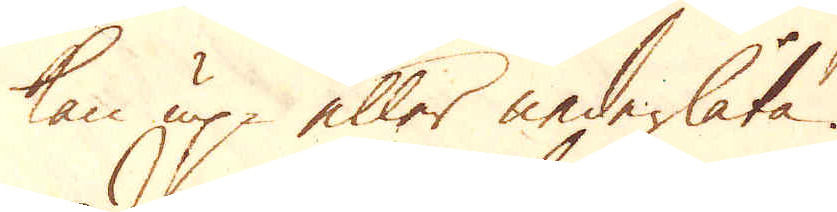kan up eller nederlåta.
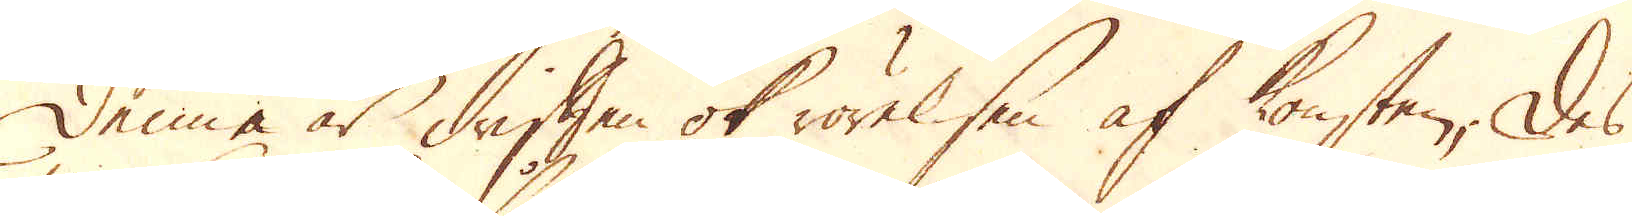Denne är driften ok rörelsen af konsten; Des
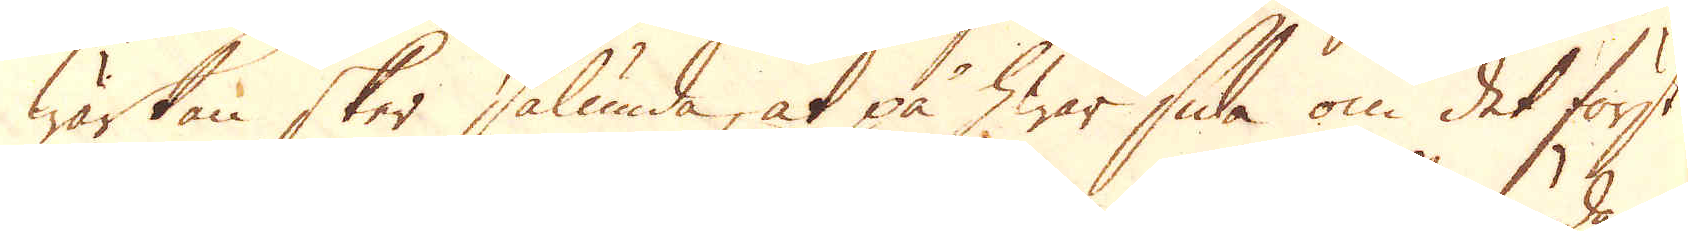wärkan sker sålunda, at på hwar sida om det först
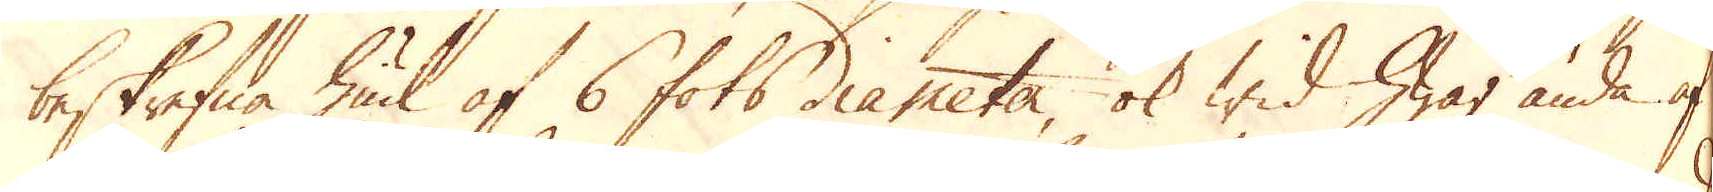beskrifna hiul af 6 fots diameter, ok wid hwar ända af
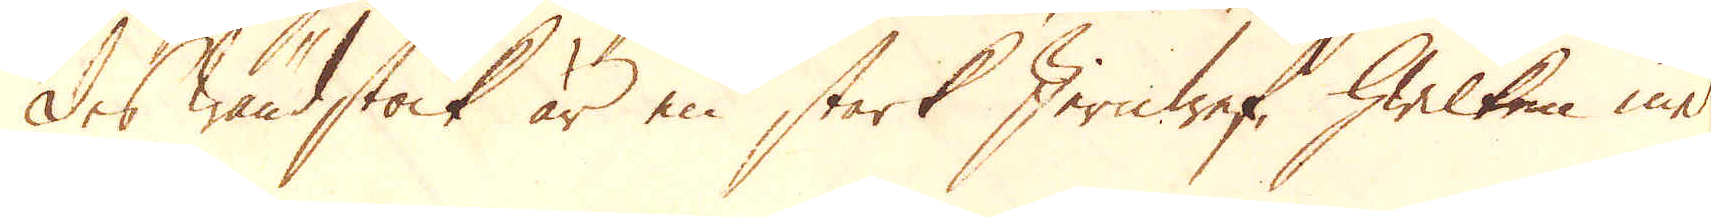des wändstock är en stark Jernwef, hwilken med
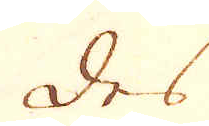des
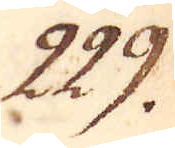229.
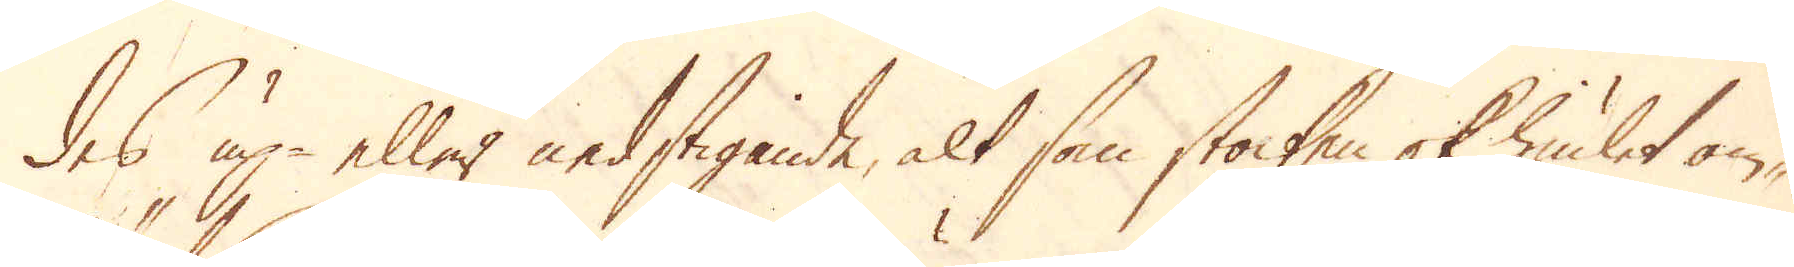des up eller nedstigande, alt som stocken ok hiulet om-
